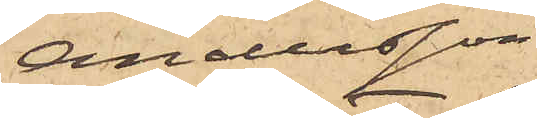Andersson
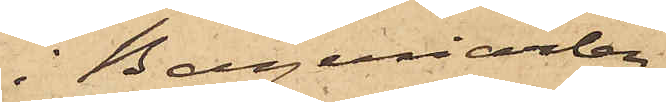i Bageriarbe¬
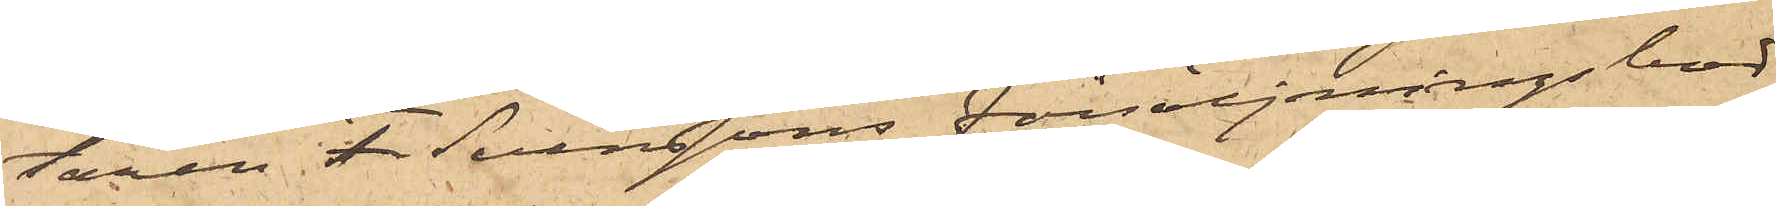taren F. Svenssons försäljningsbod
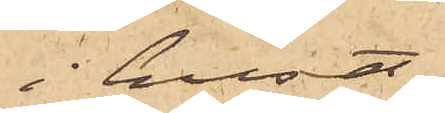i huset
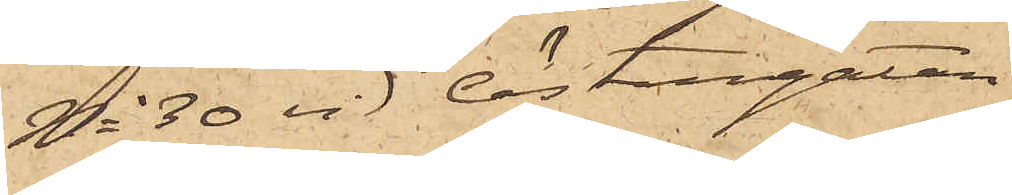No 30 vid Östergatan
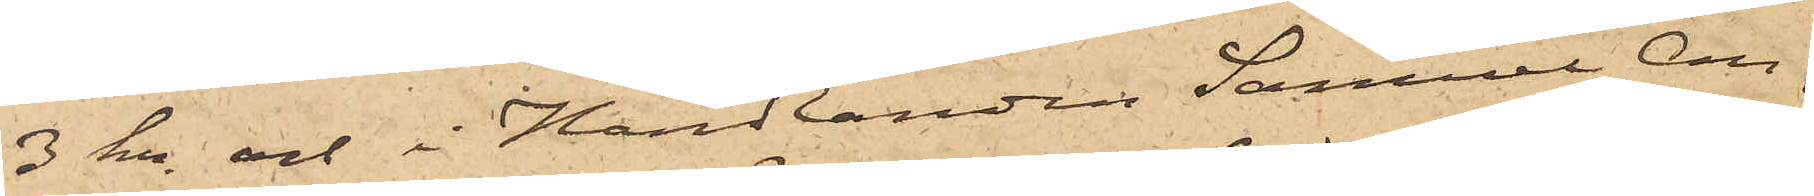3 kr och i Handlanden Samuel An¬
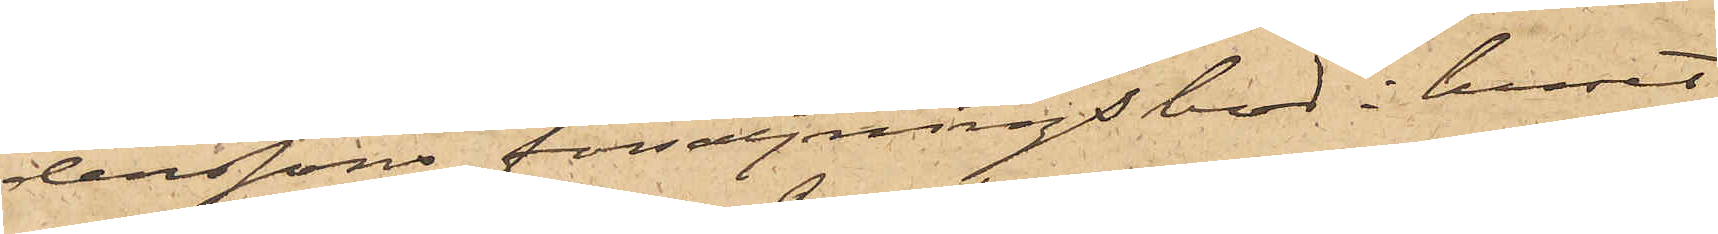derssons försäljningsbod i huset
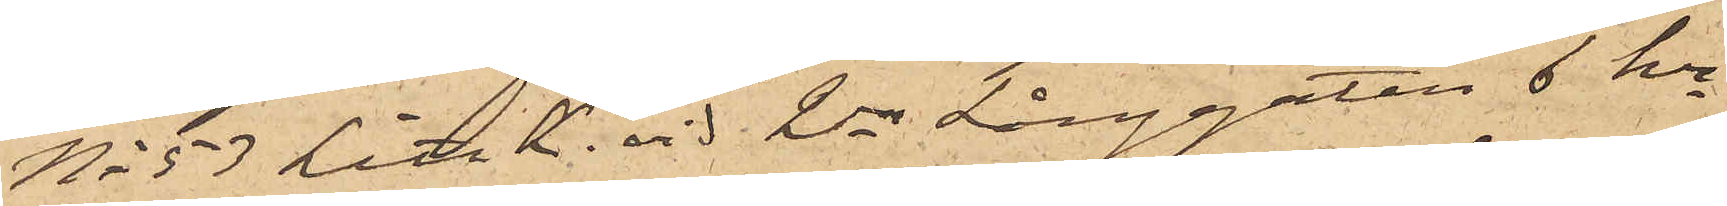No 53 Litt K. vid 2dra Långgatan 6 kr
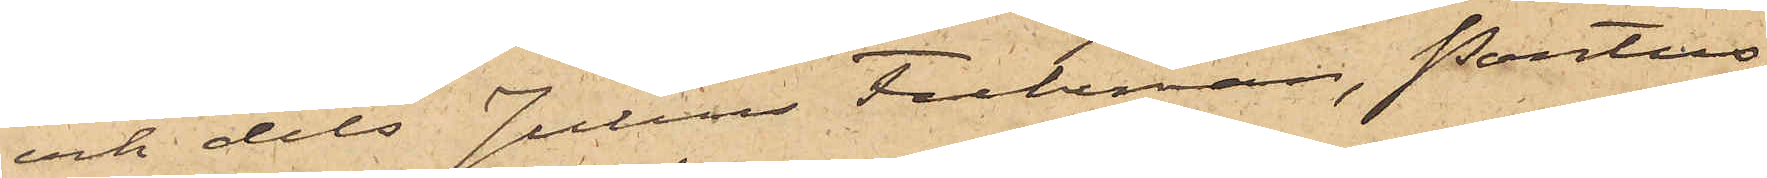och dels Julius Fuhrman, Pontus
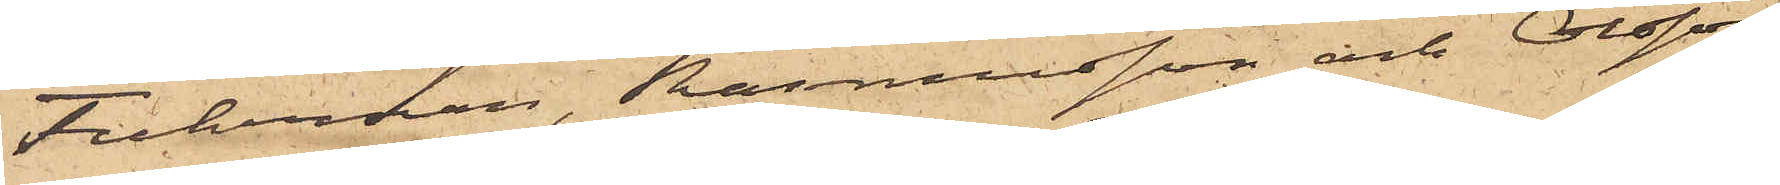Fuhrman, Rasmusson och Olsson
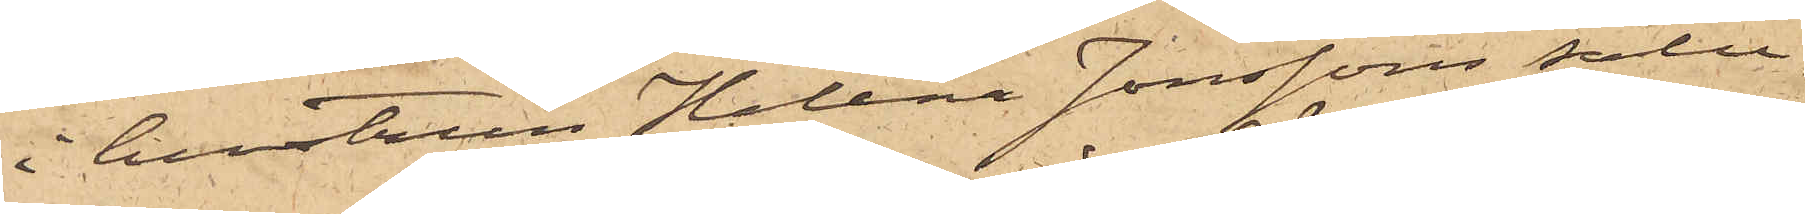i hustrun Helena Jonssons salu¬
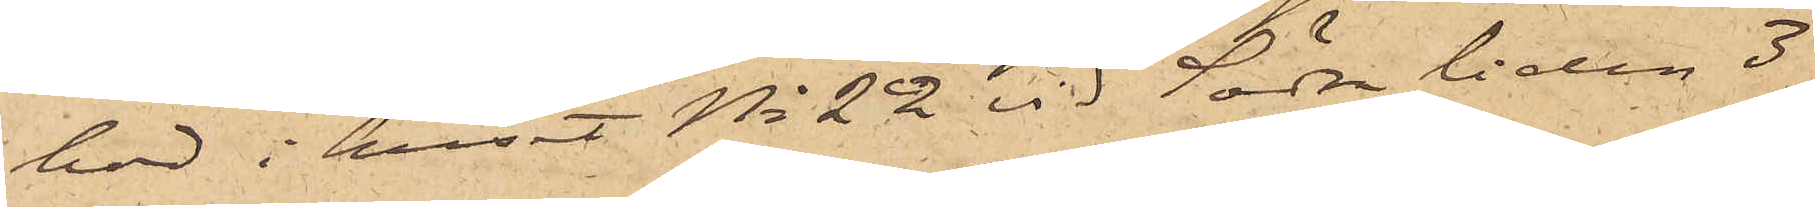bod i huset No 22 vid Södra liden 3
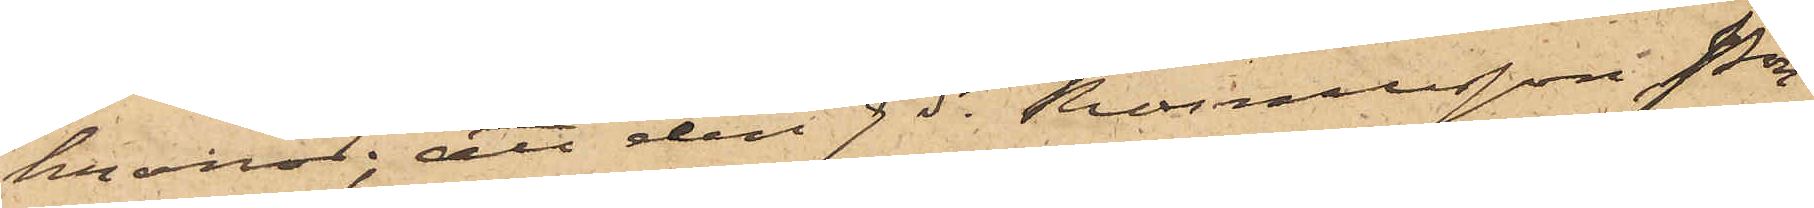kronor; att den 9 ds Rasmusson, Pon¬
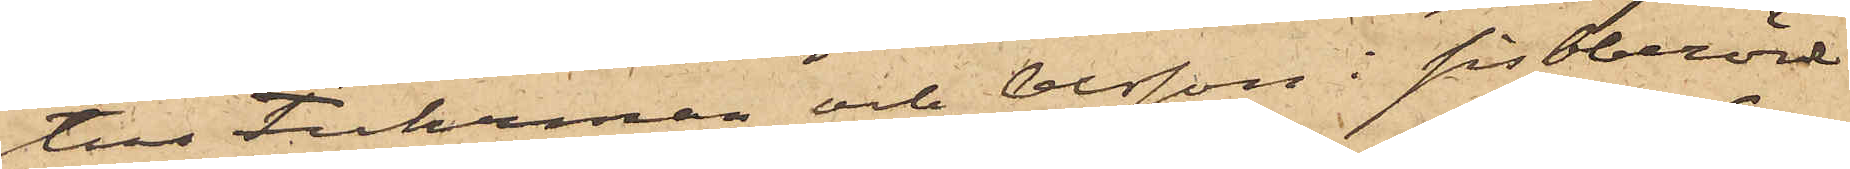tus Fuhrman och Olsson i sistberörd
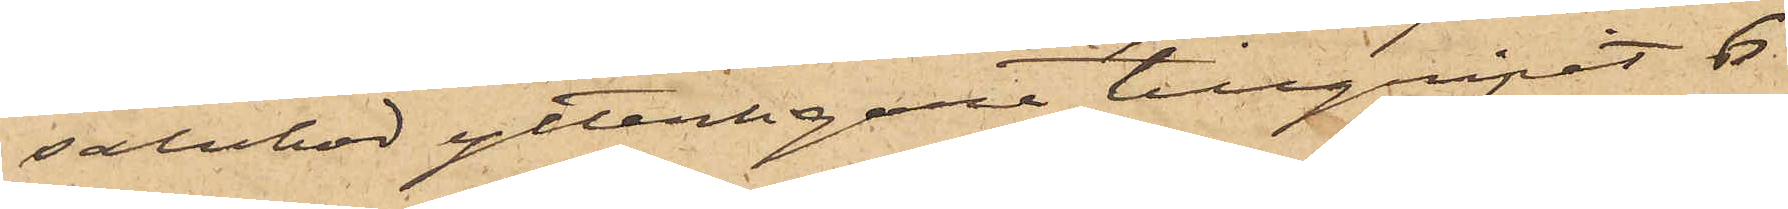salubod ytterligare tillgripit 6
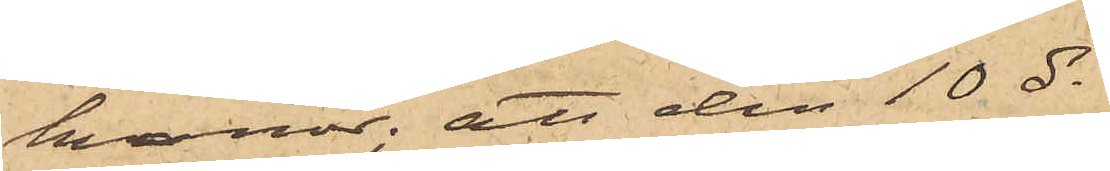kronor; att den 10 ds
